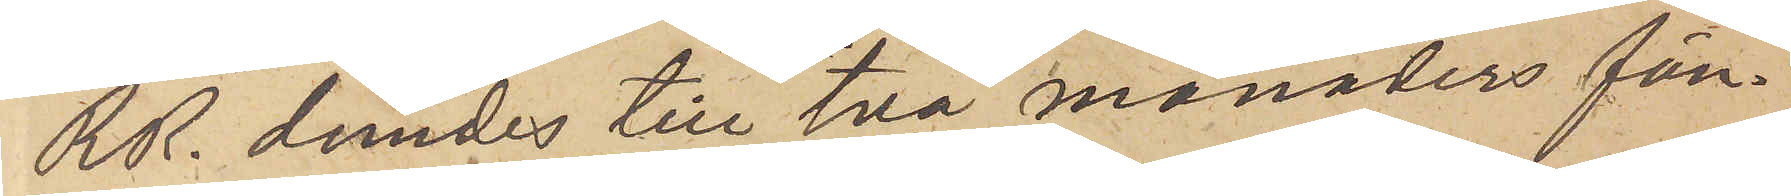RR. dömdes till två månaders fän¬
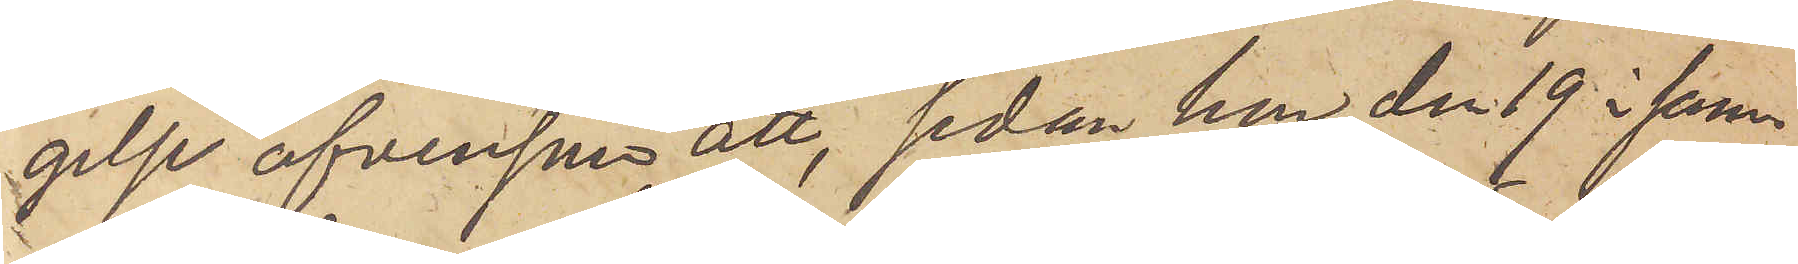gelse äfvensom att, sedan hon den 19  i sam¬
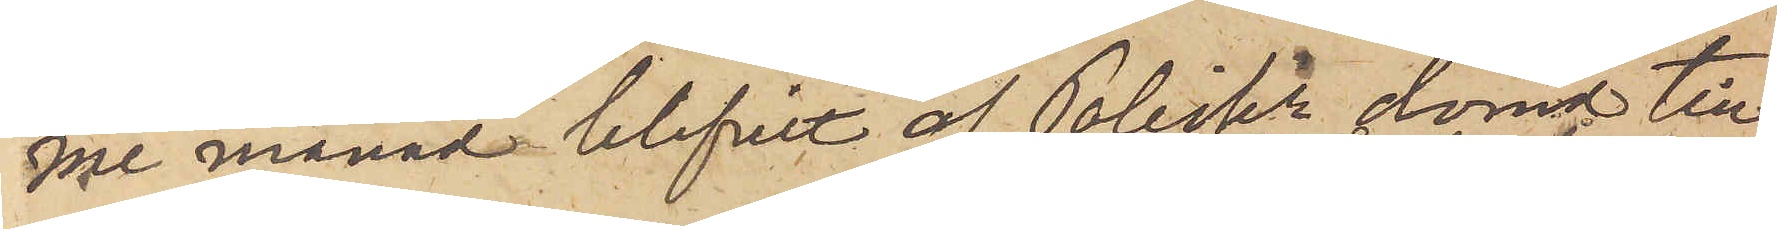me månad blifvit af Poliskn dömd till
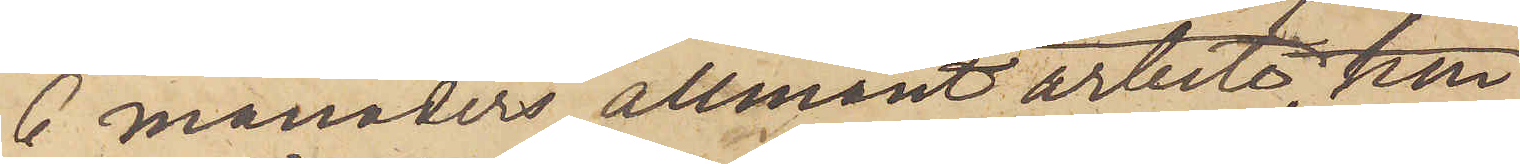6 månaders allmänt arbete, 
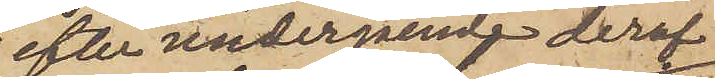efter undergående deraf
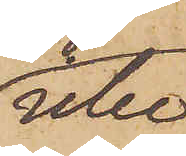hon icke
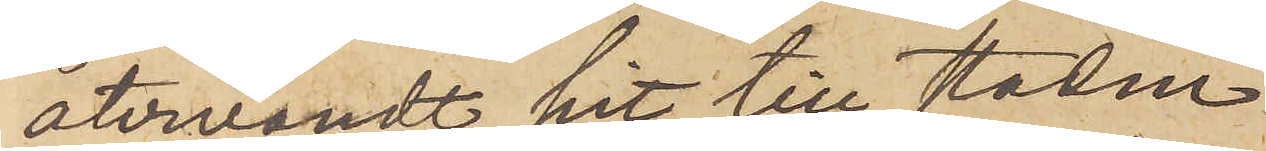återvändt hit till staden.
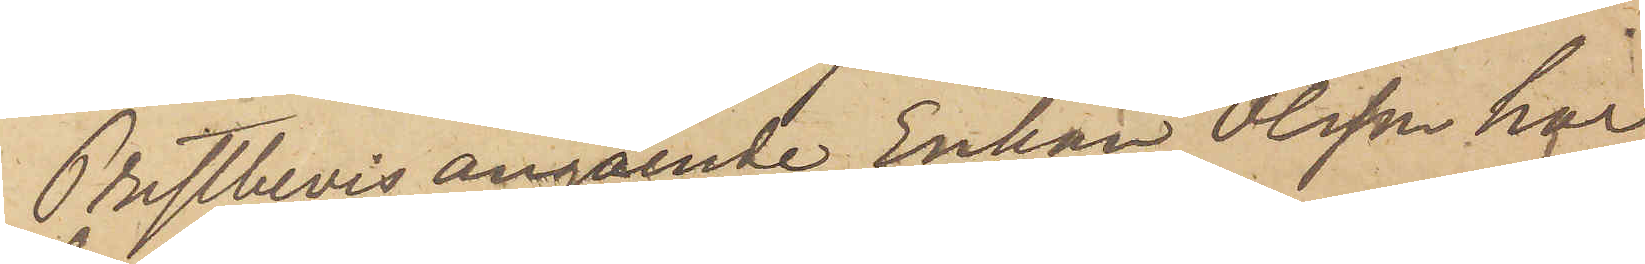Prestbevis angående Enkan Olsson har
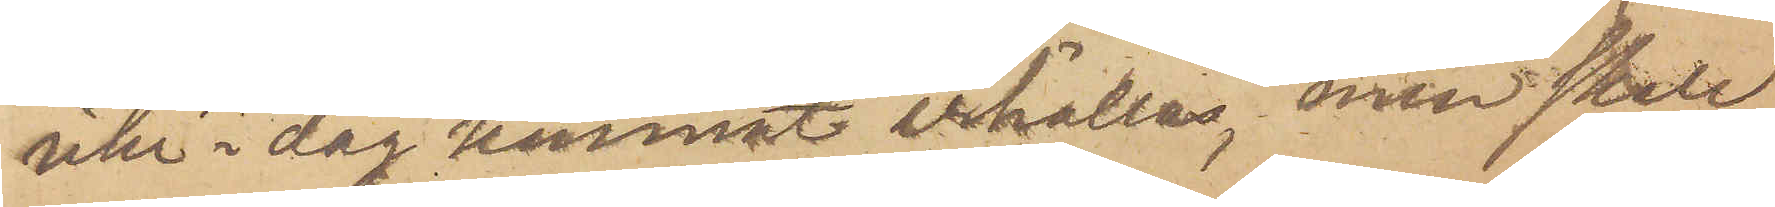icke i dag kunnat erhållas, men skall
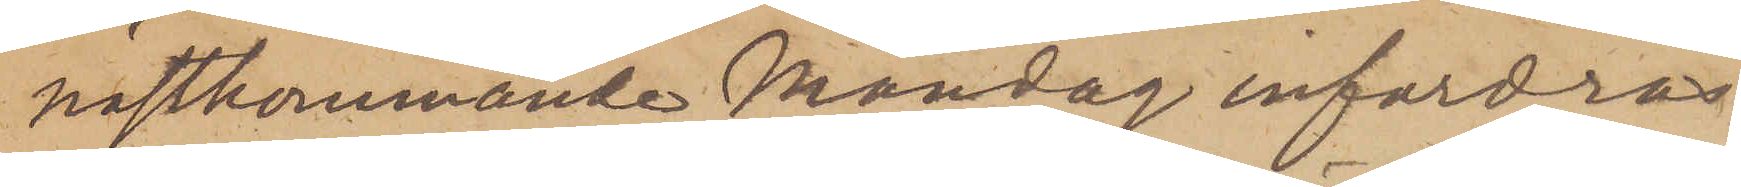nästkommande Måndag infordras
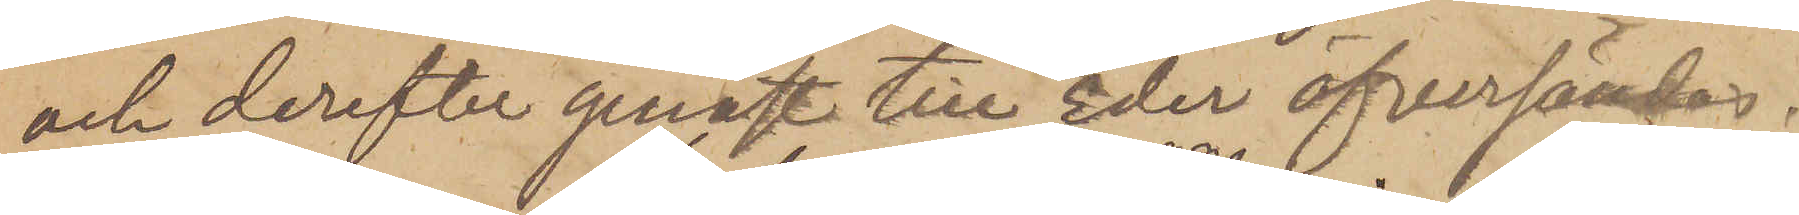och derefter genast till Eder öfversändas.
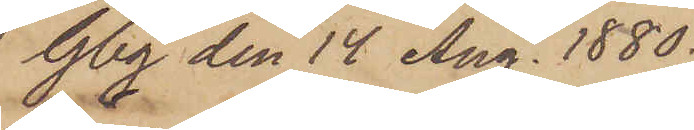Gbg den 14 Aug. 1880.
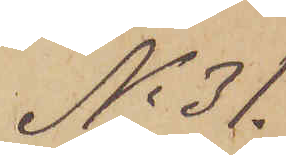No 31.
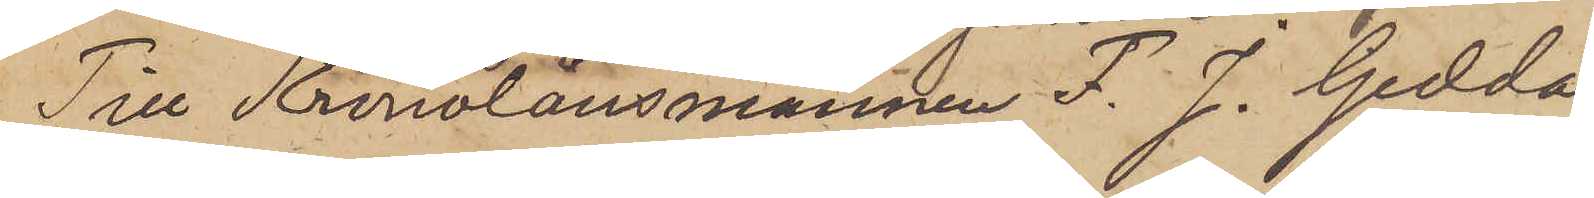Till Kronolänsmannen F. J. Gedda.
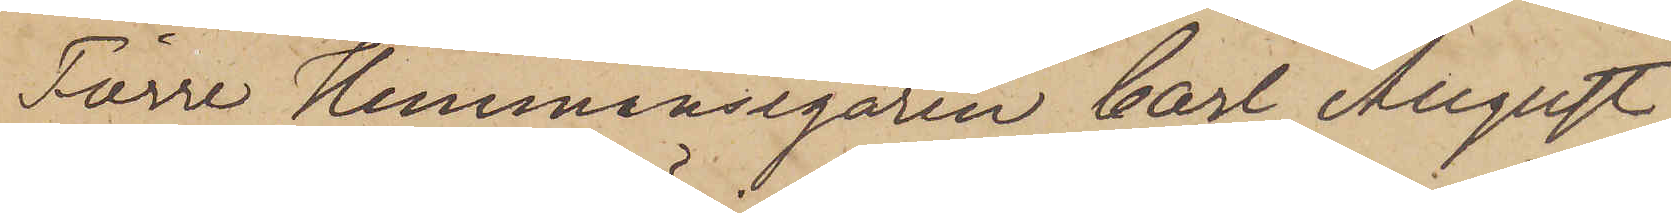Förre Hemmansegaren Carl August
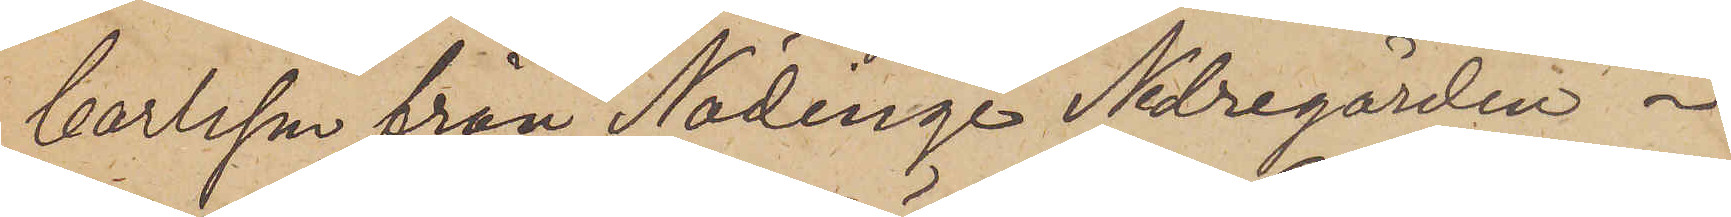Carlsson från Nödinge Nedregården i
